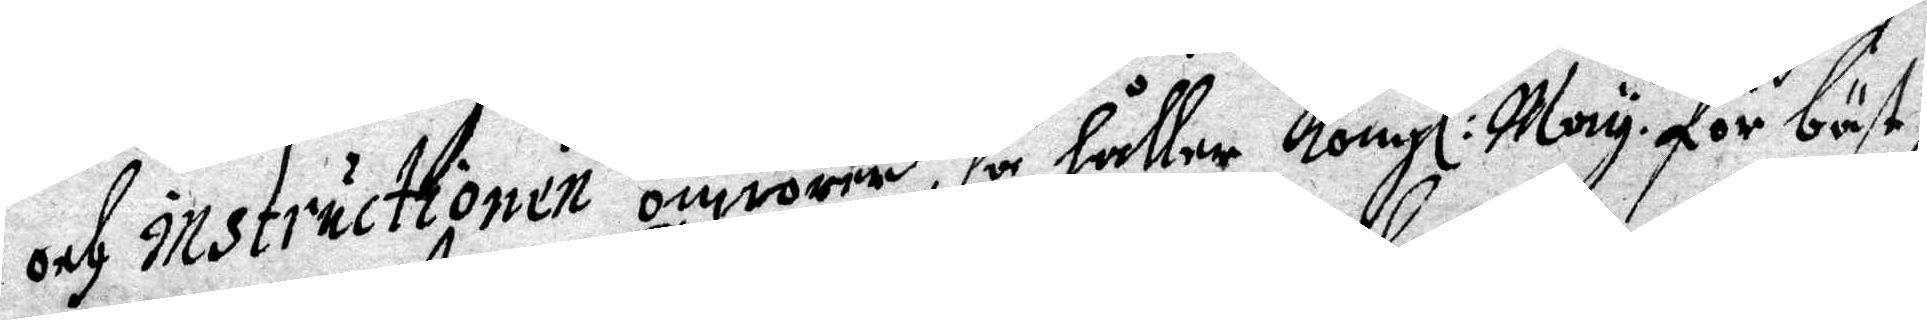od instructionen omrörer, så håller Kongl May:tt för bäst 
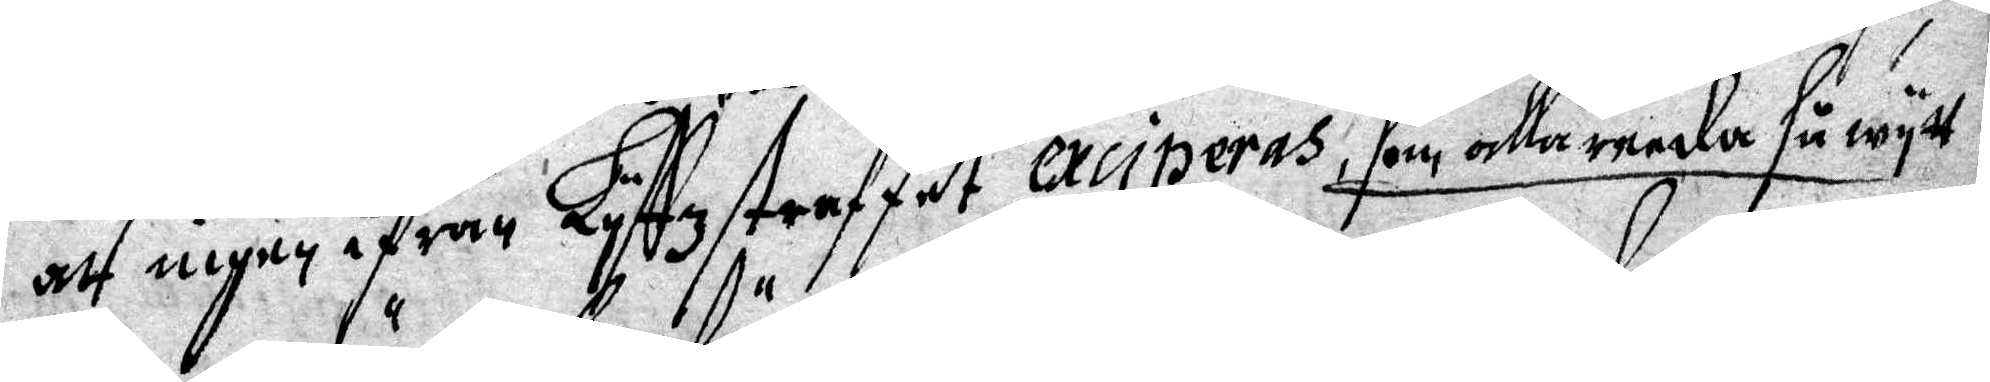att ingen ifrån Lyffzstraffet exciperas, som allareeda så wytt
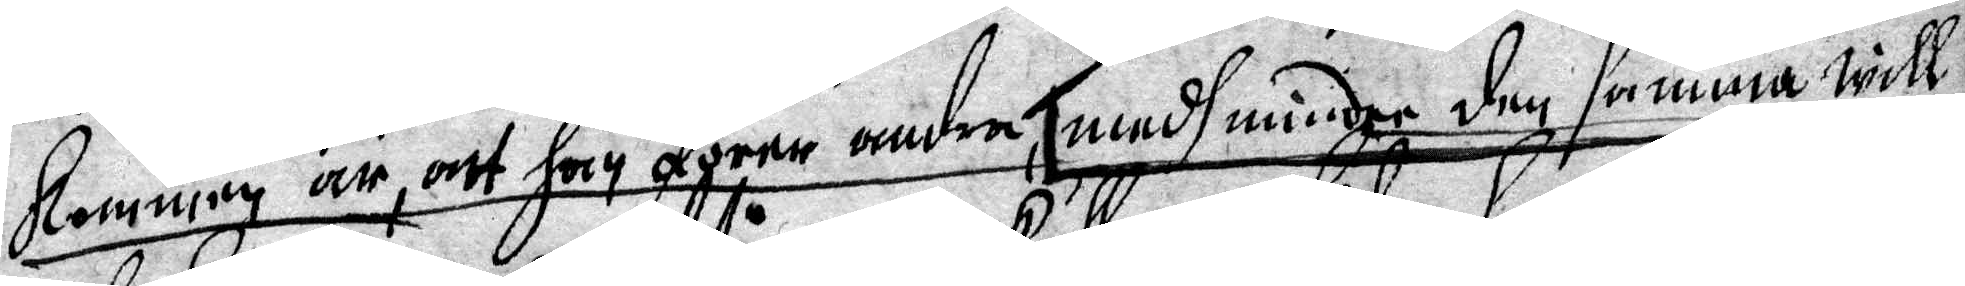kommen är, att han förer andra, med mindre den samma will
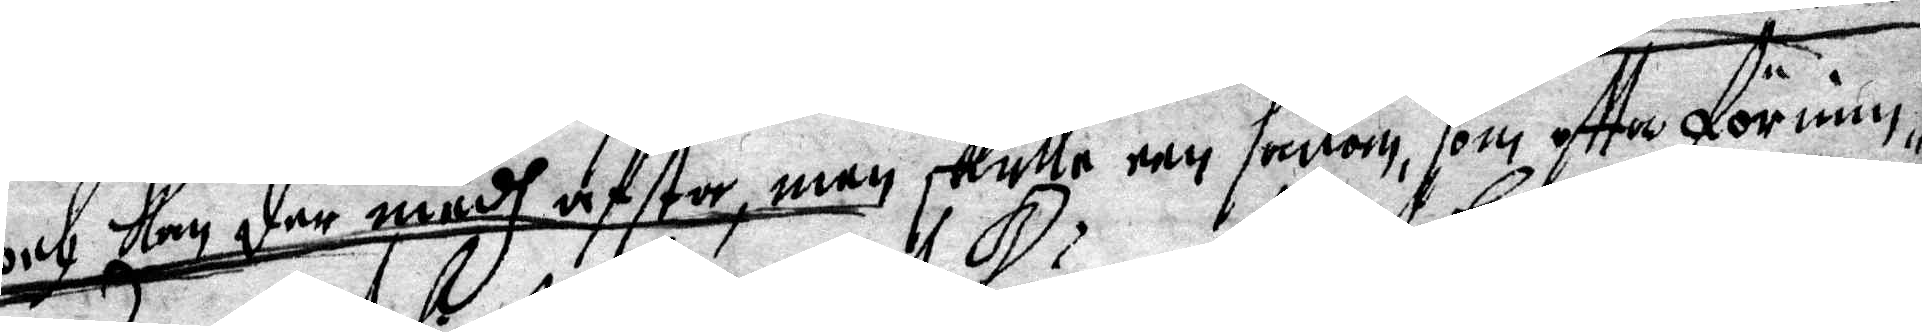och kan der medh afstå, men skulle een sådan, som oftta förnim¬
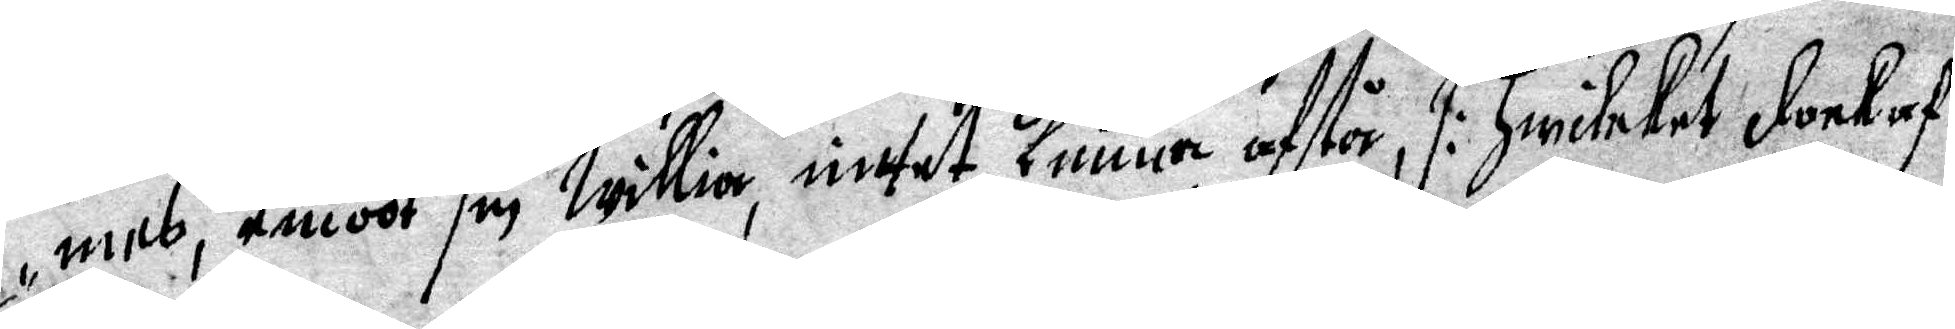mes, emoot sin willia, intet kunna afstå, /: hwilcket dock af
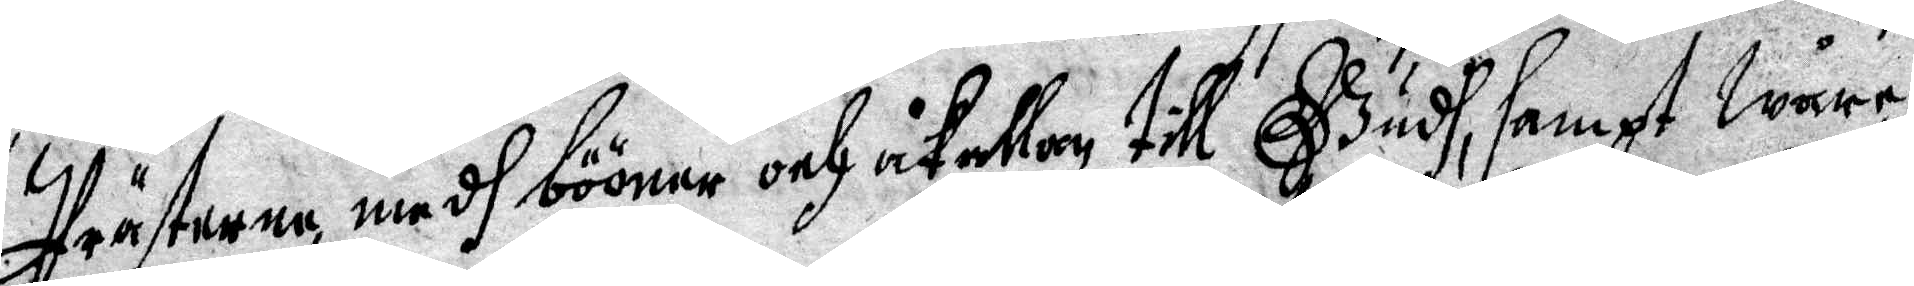Prästerna medh bööner och åkallan till Gudh, sampt wåre
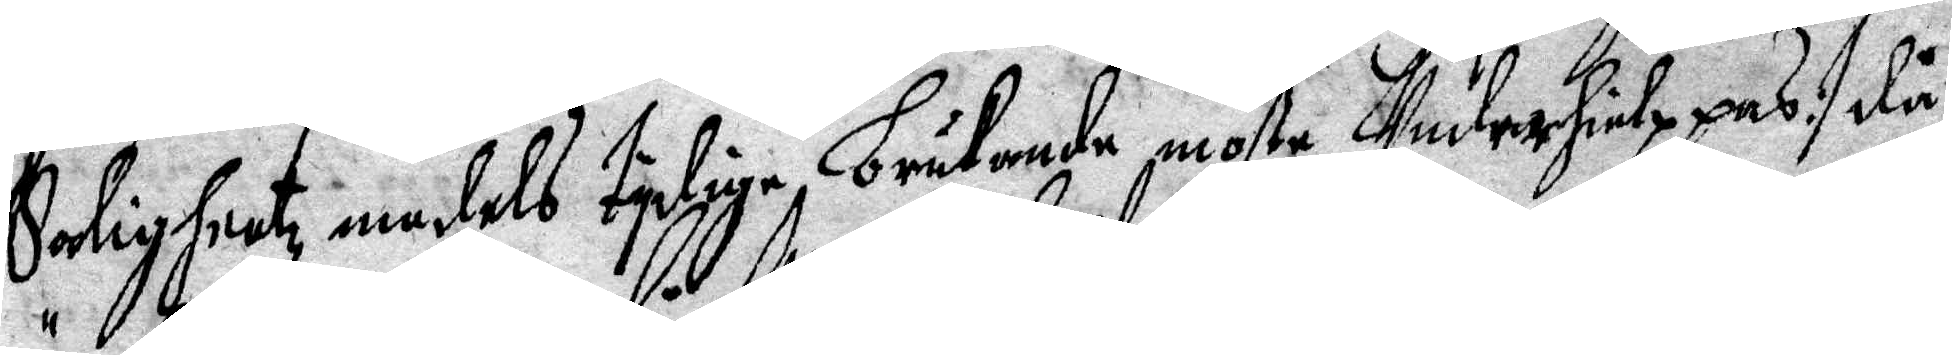Salighetz medels tydige brukande, moste Underhielppas :/ då
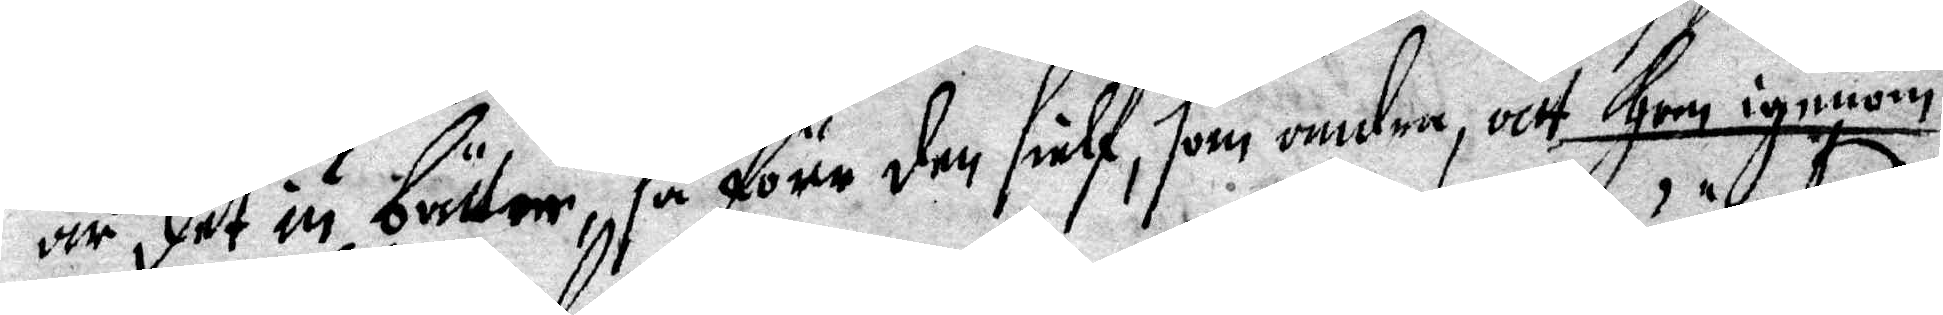är det än bätter, så före den sielf, som andra, att han igenom
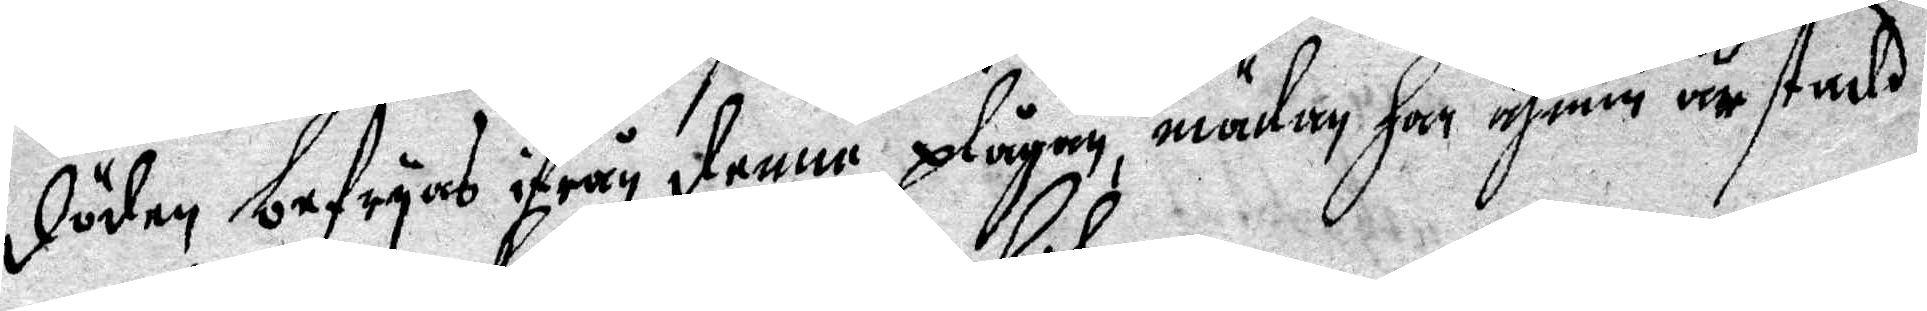döden befryas ifrån denne plågan, mädan han ähnnu är stadd
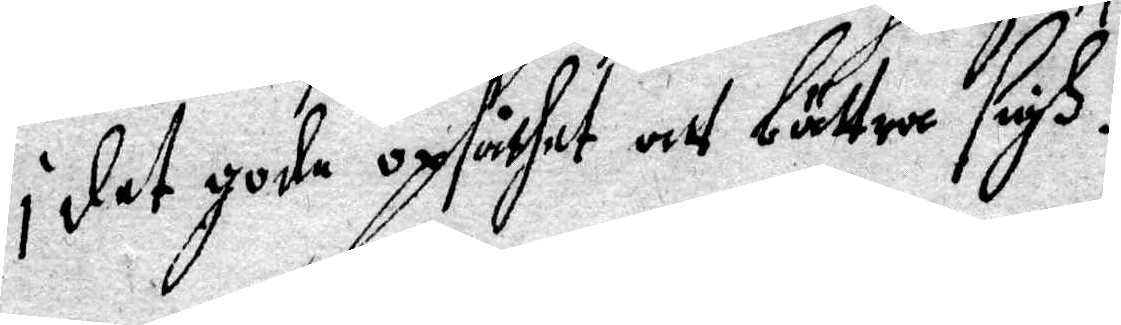i det gode opsåthet att bättra sigh.
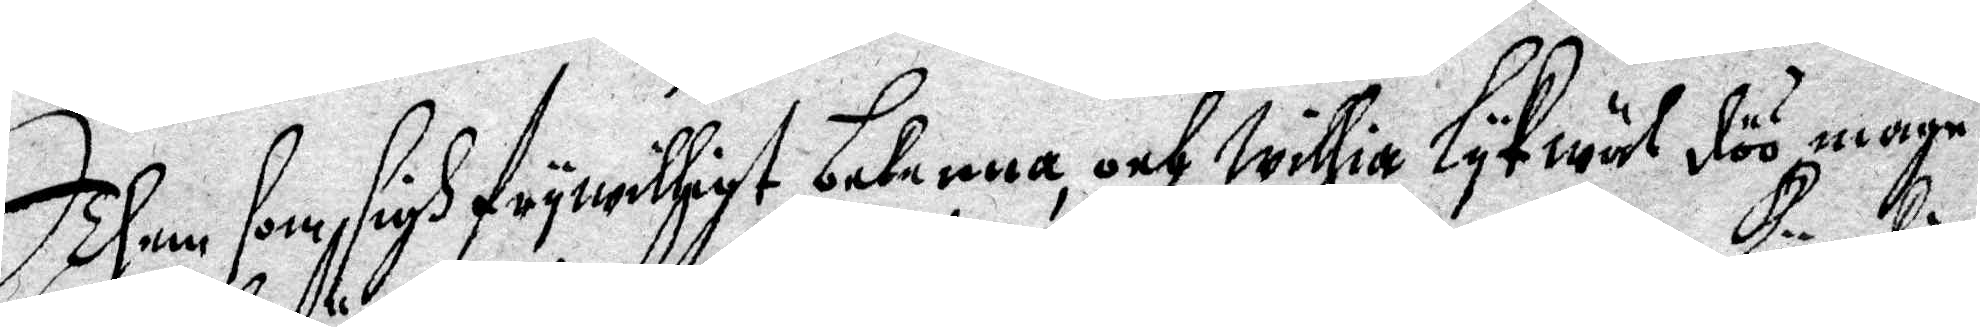Them som sigh fryrwilligt bekenna, och willia lykwäl döö måge
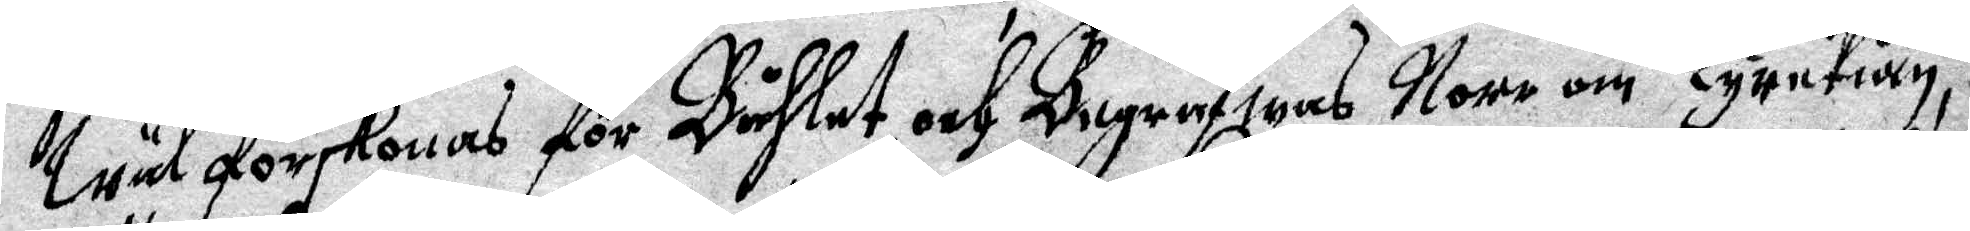Wäl förskonas för Båhlet och Begrafwas Norr om Kyrckian,
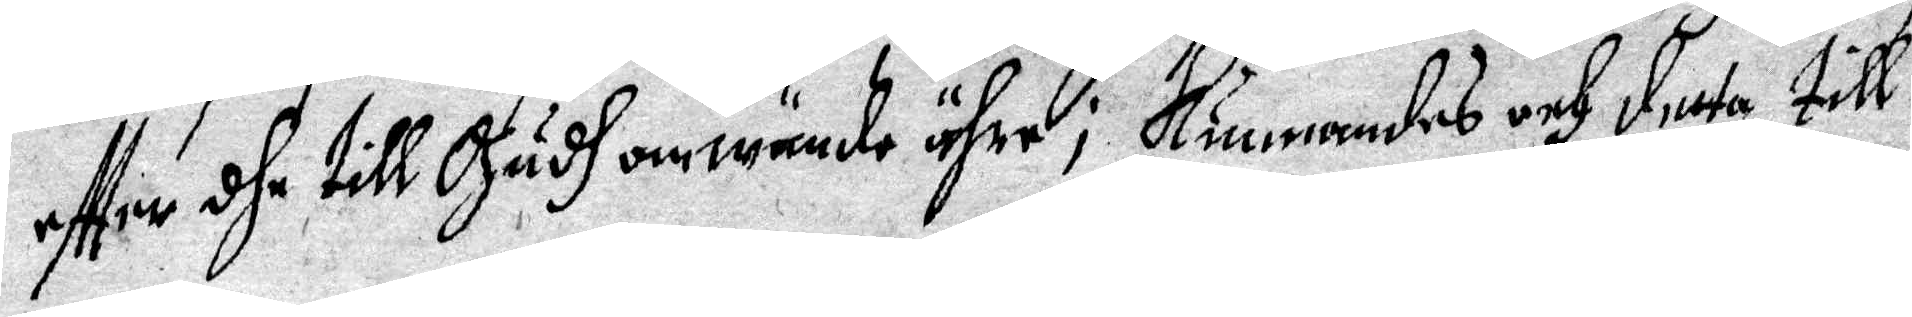effter dhe till Gudh omwände ähre; Kunnandes och detta till¬
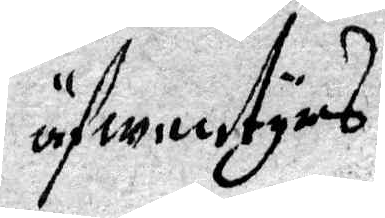öfwentyrs
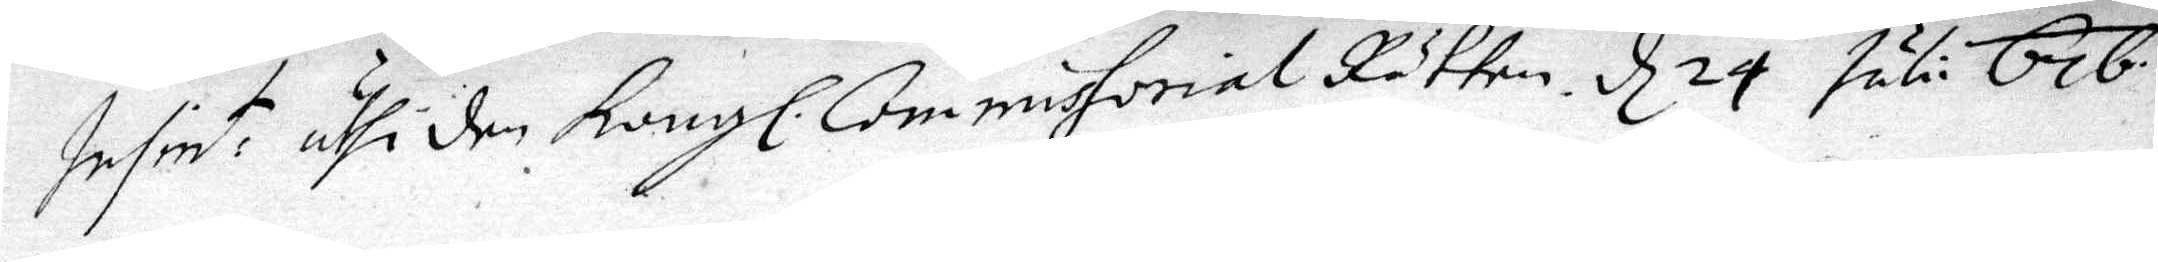Insent: uthi den Kongl. Commissorial Rätten d 24 juli 676.
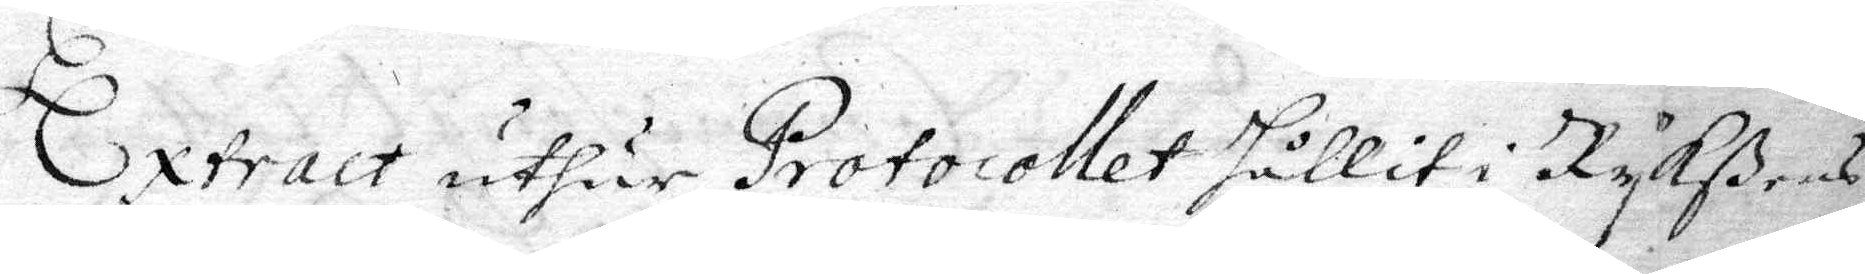Extract uthur Protocollet hållit i Rykßens
